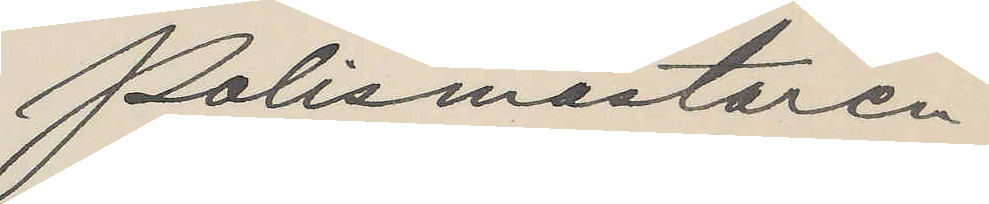Polismästaren.
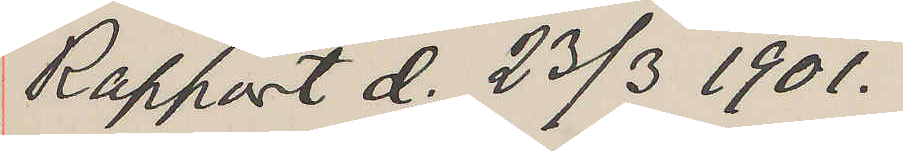Rapport d. 23/3 1901.
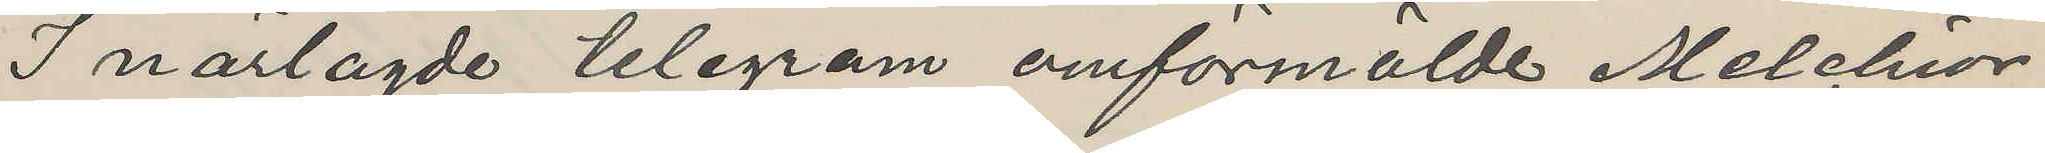I närlagde telegram omförmälde Melchior
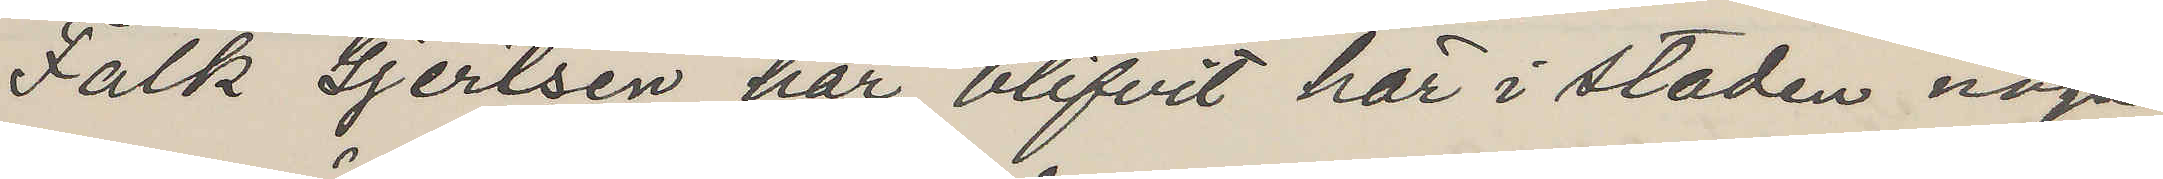Falk Gjertsen har blifvit här i staden noga
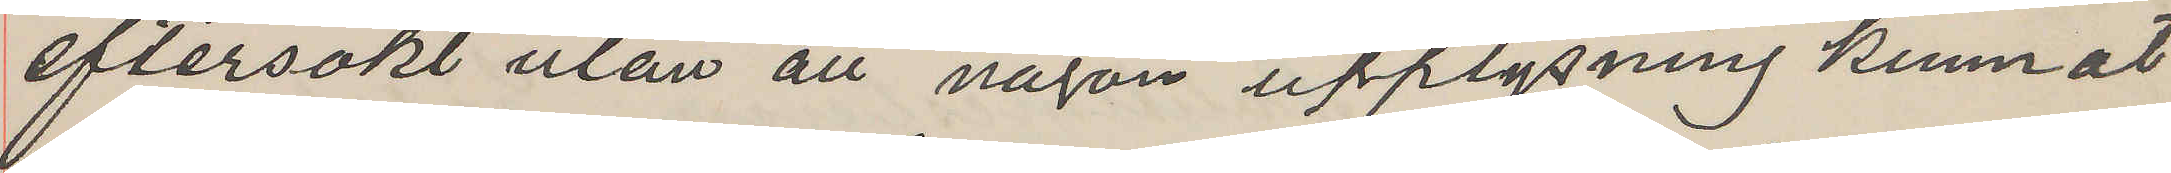eftersökt utan att någon upplysning kunnat
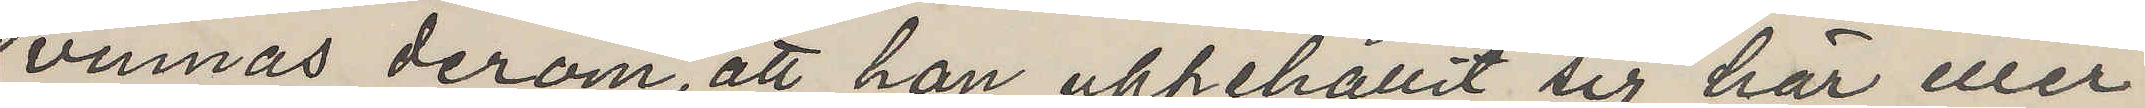vinnas derom, att han uppehållit sig här eller
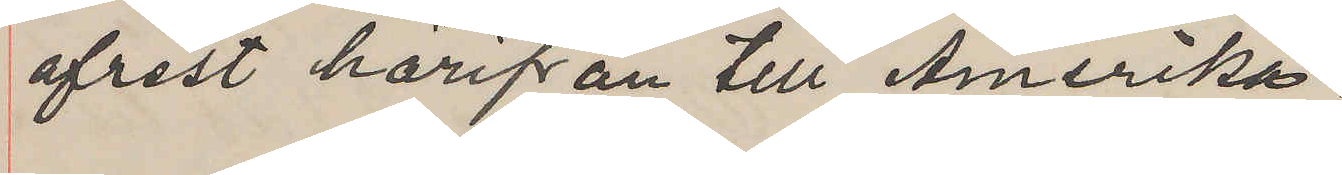afrest härifrån till Amerika.
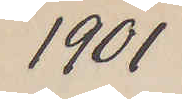1901
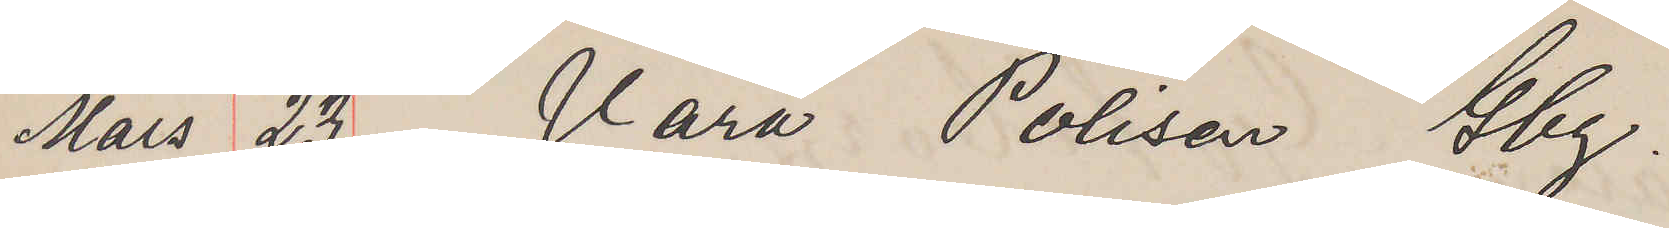Mars 23 Vara Polisen Gbg.
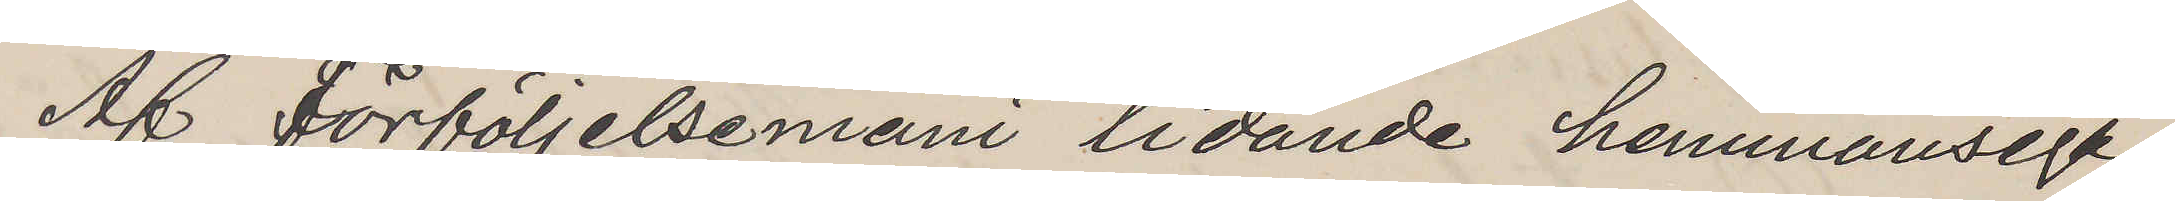Af förföljelsemani lidande hemmansega¬
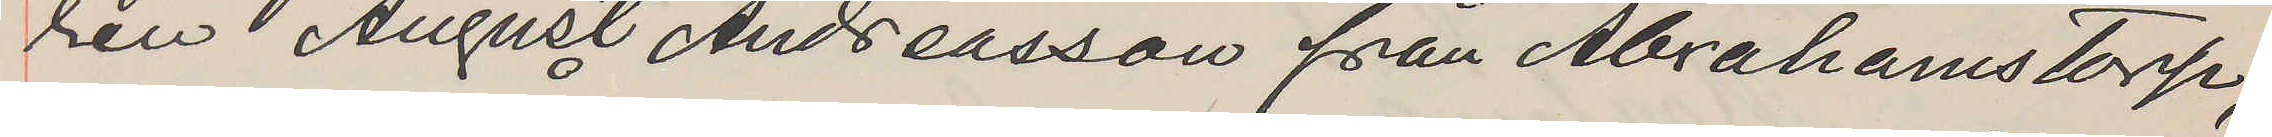ren August Andreasson från Abrahamstorp,
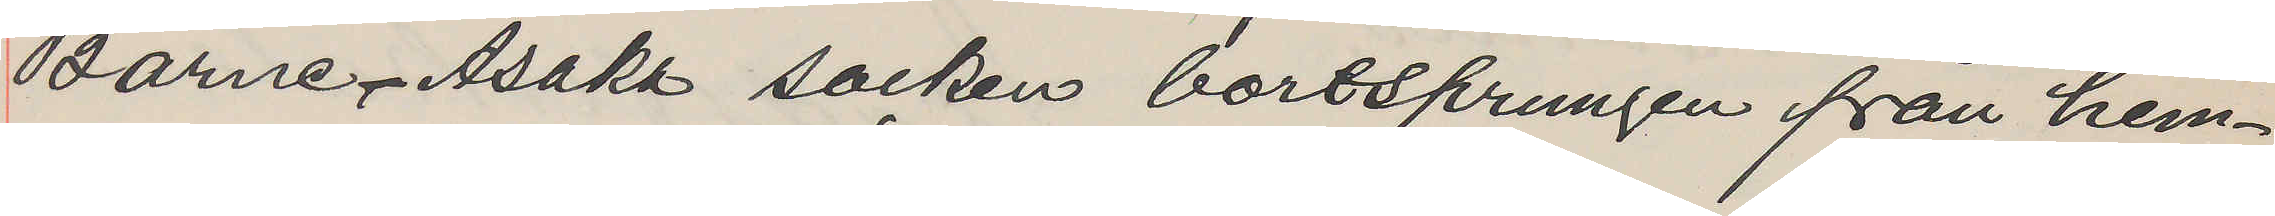Barne Åsaka socken bortsprungen från hem¬
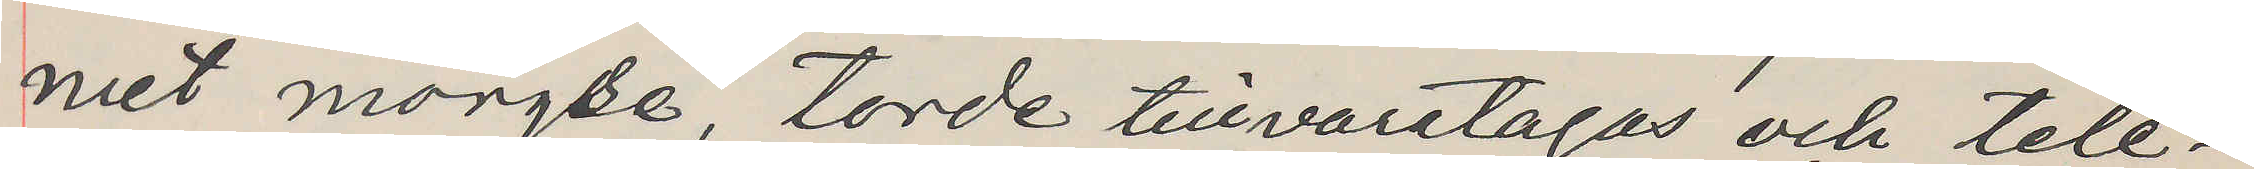met morse, torde tillvaratagas och tele¬
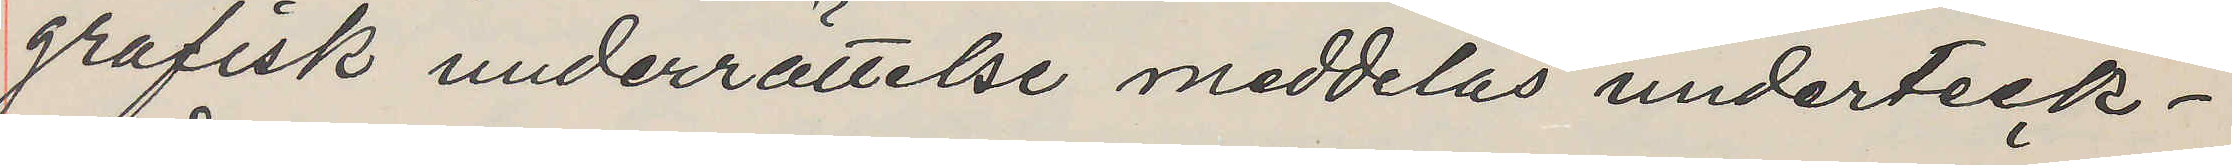grafisk underrättelse meddelas underteck¬
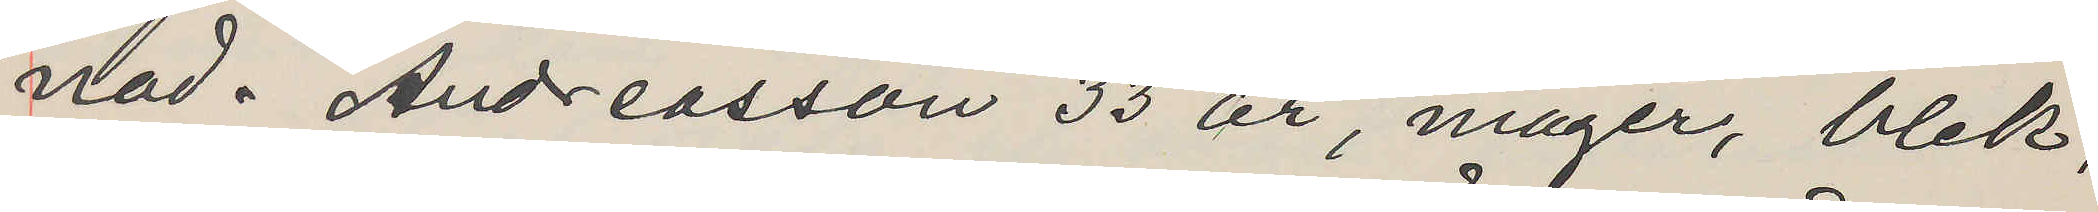nad. Andreasson 33 år, mager, blek,
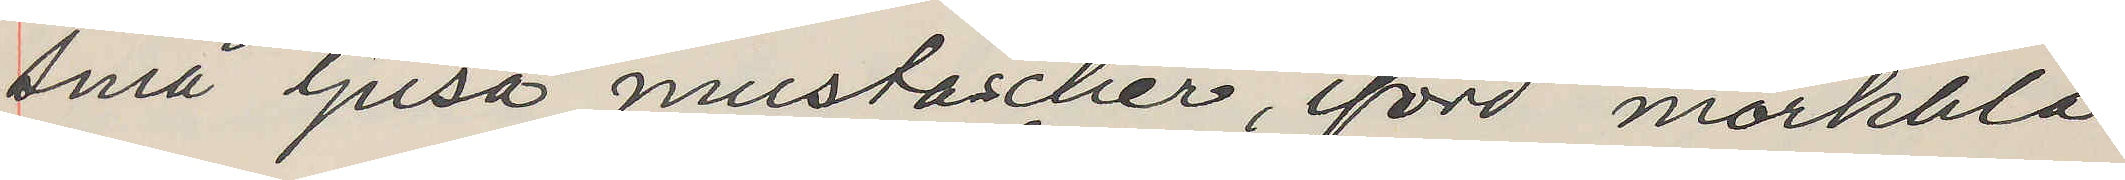sma ljusa mustascher, iförd mörkblå
